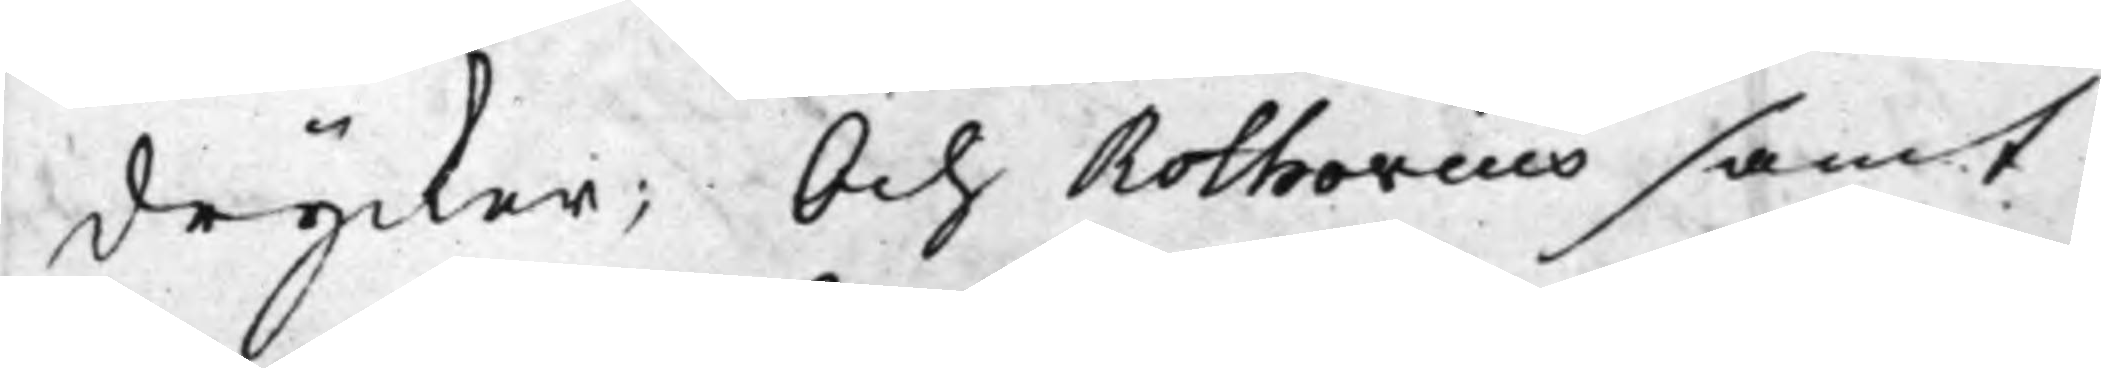drycker; Och Rothovius samt
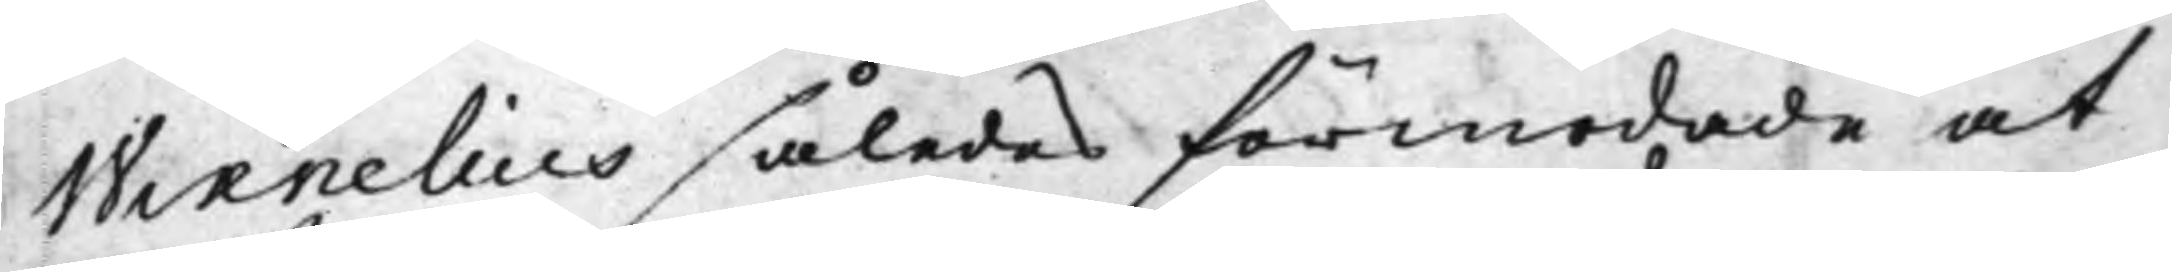Wixnelius således förmodade at
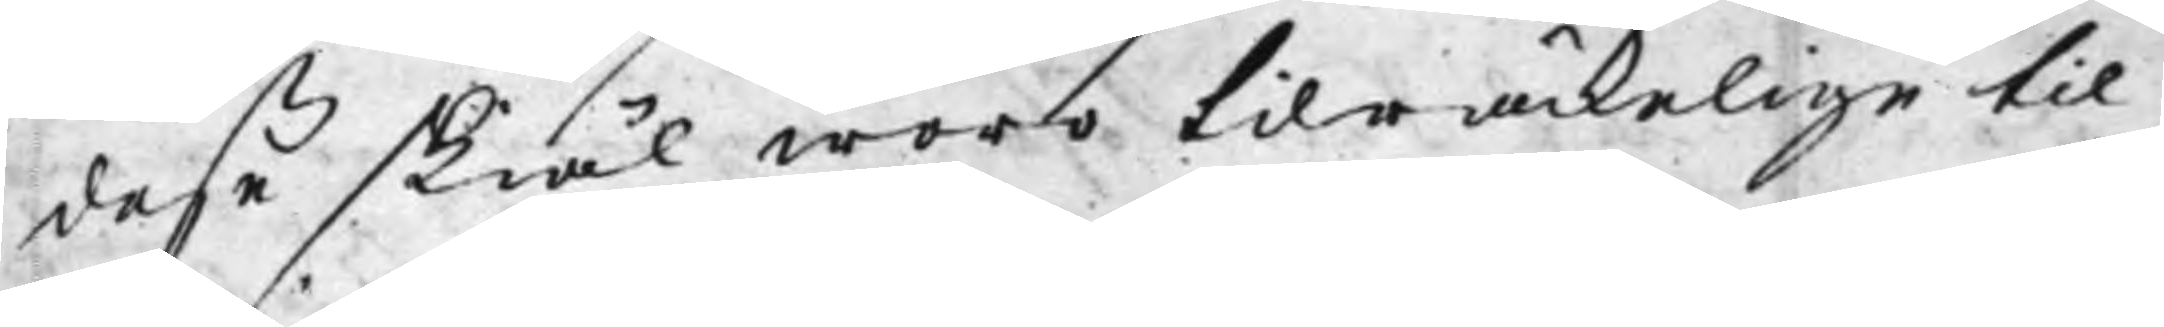deße skiäl woro tilräckelige til
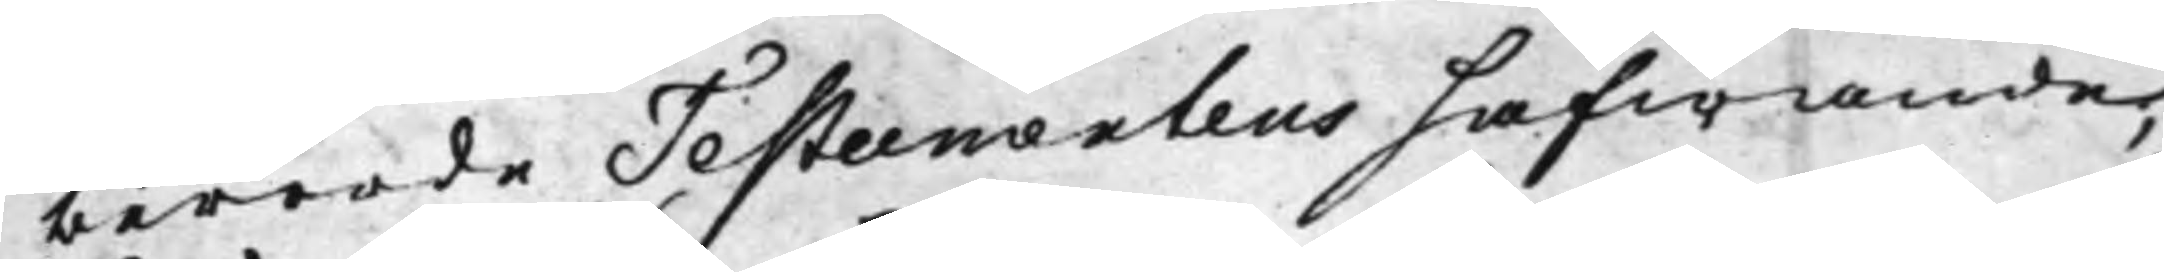berörde Testamentens häfwande;
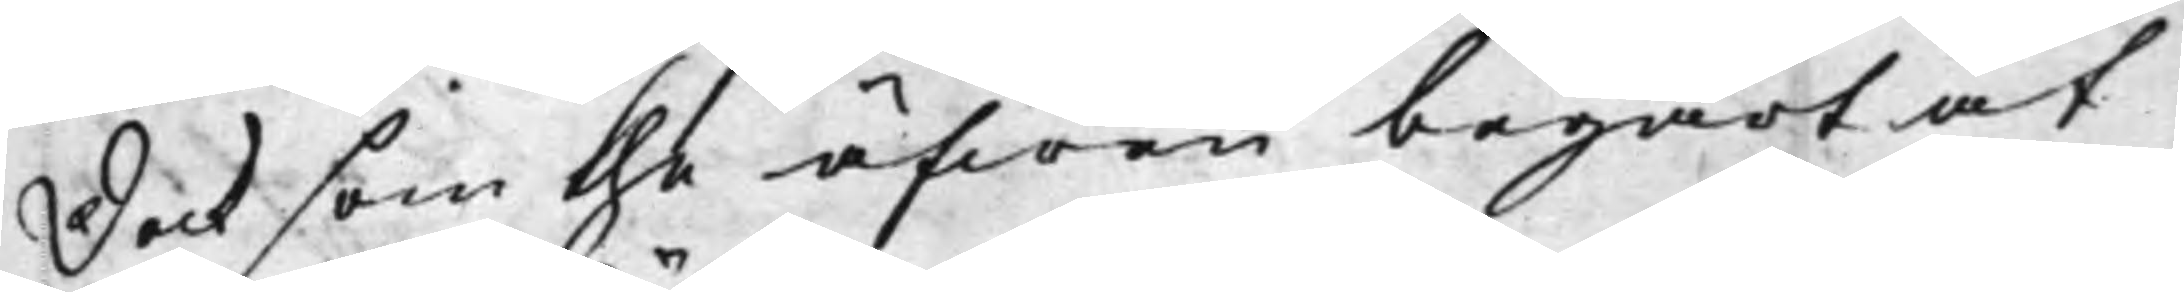Dock som the äfwen begärt at
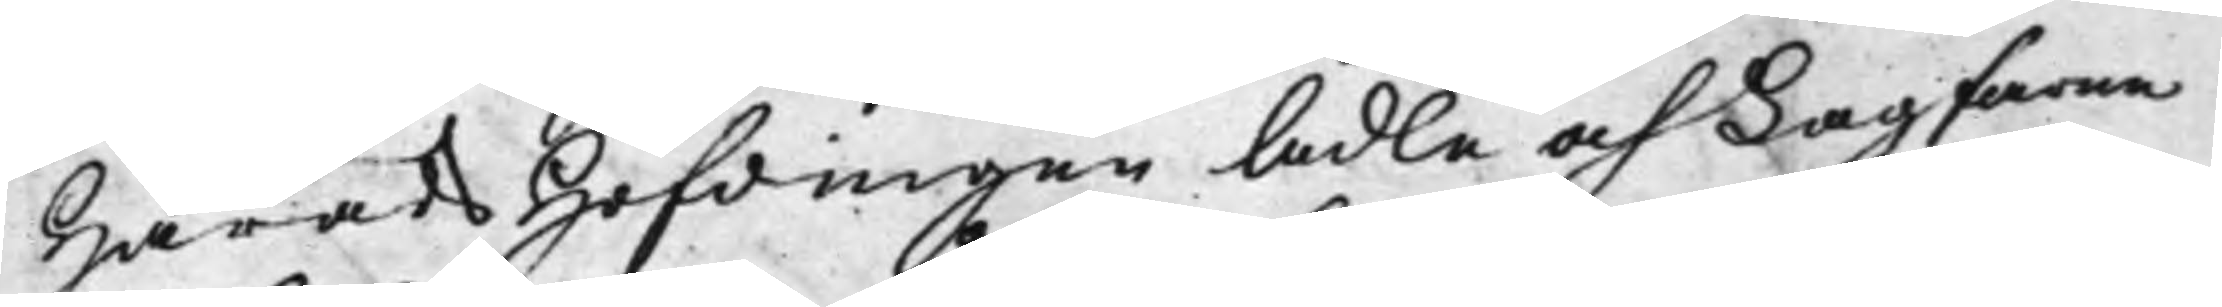HäradsHöfdingen Ädle och Lagfarne
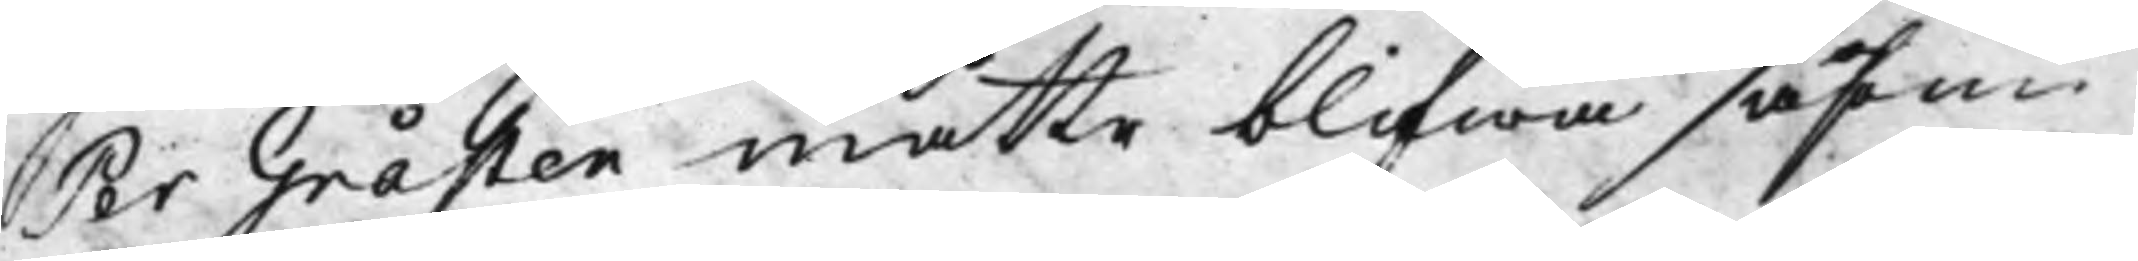Per Gråsten måtte blifwa såsom
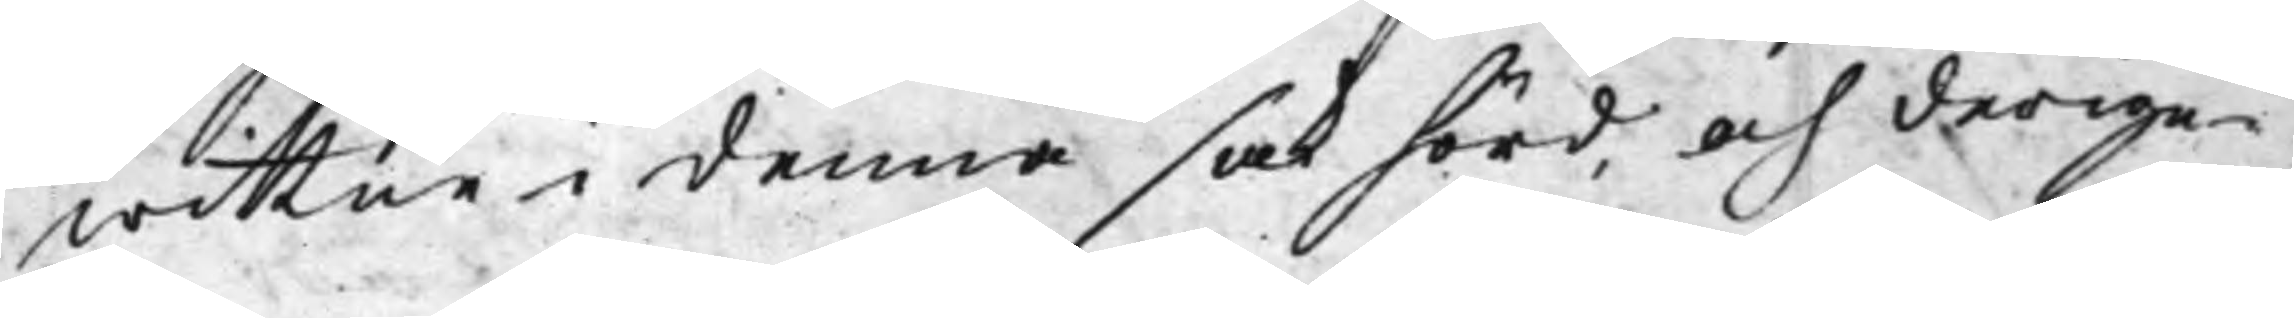wittne i denna sak hörd, och derige¬
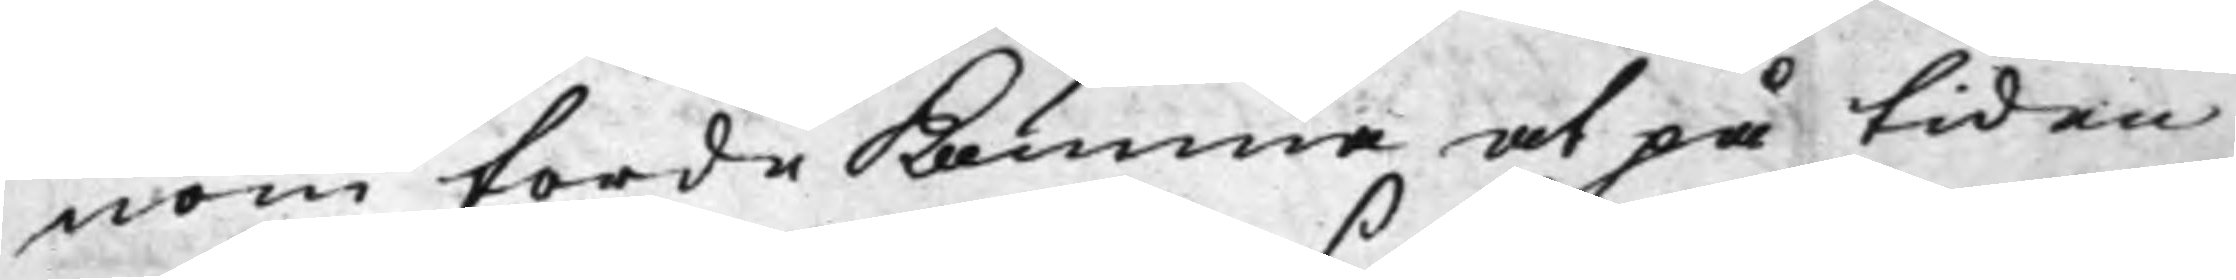nom torde Komma at på tiden
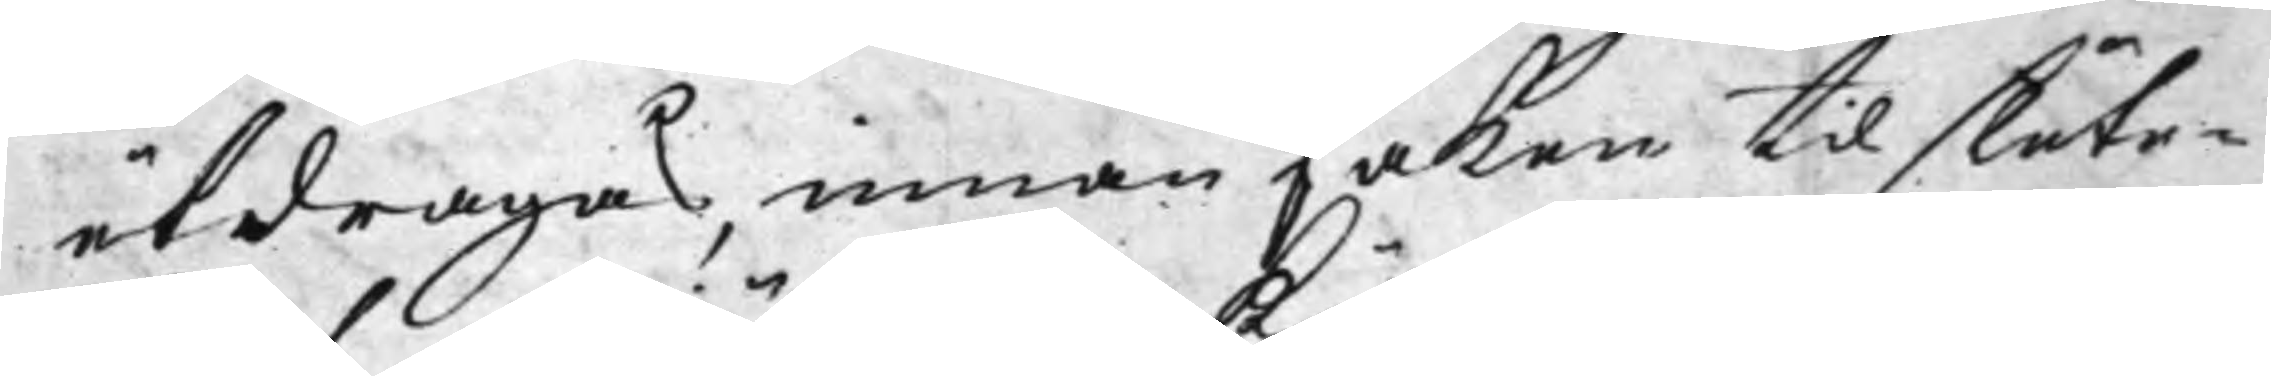utdragas, innan saken til slute¬
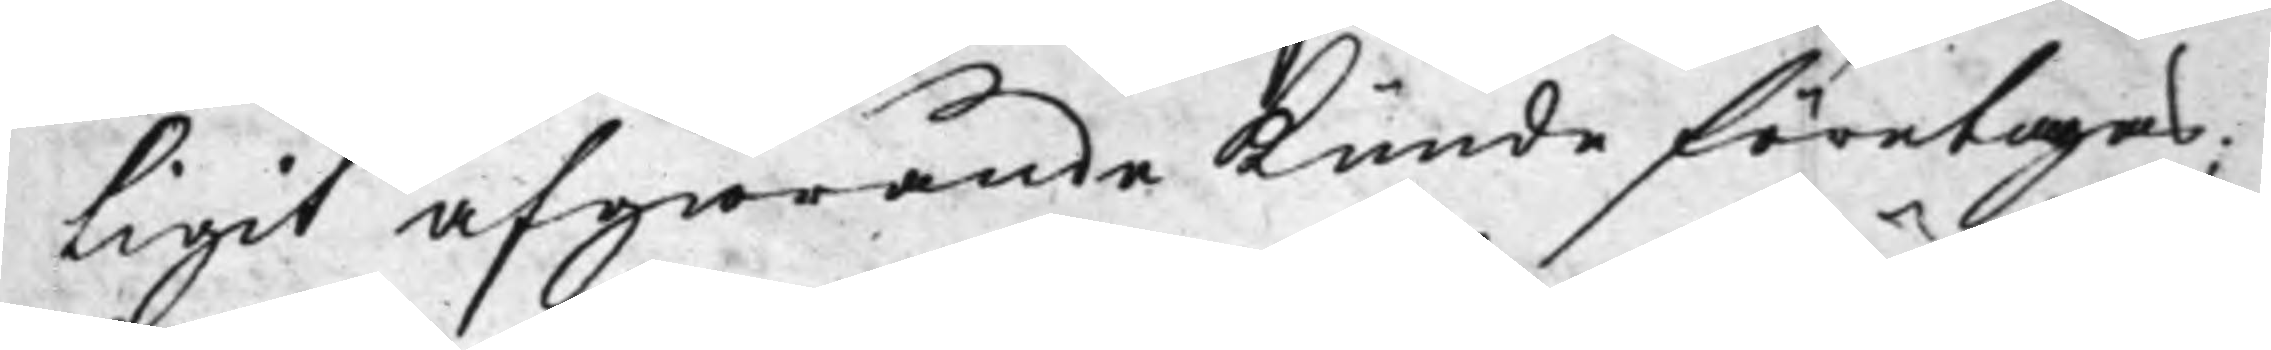ligit afgiörande Kunde företagas;
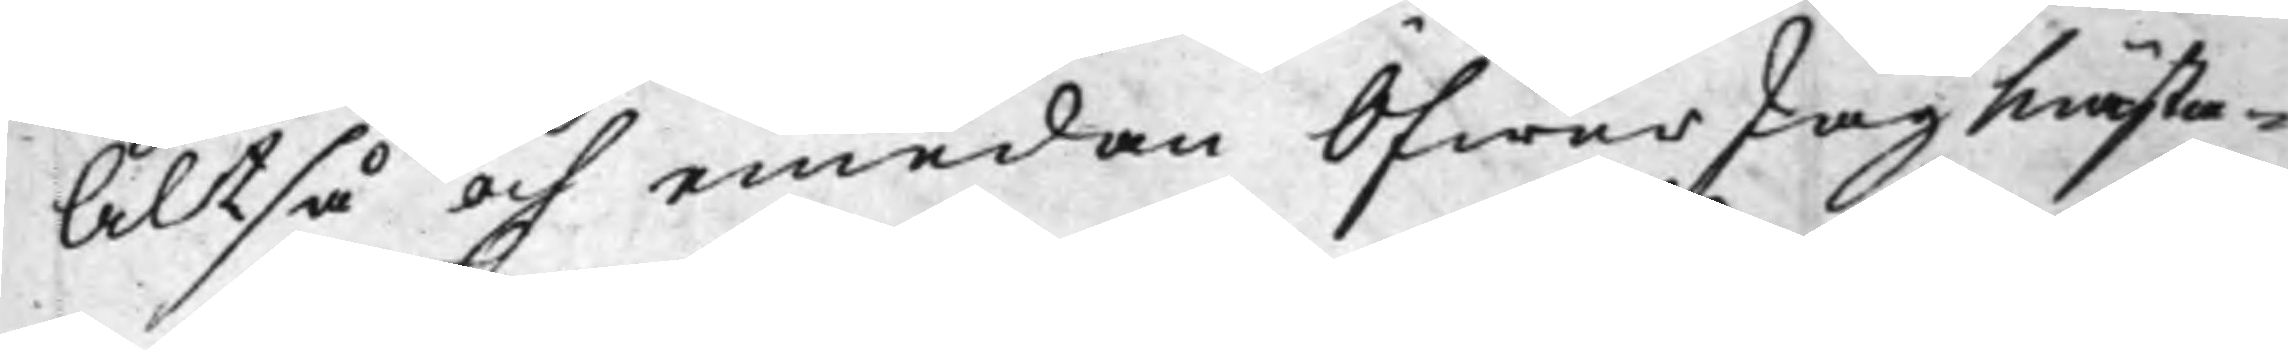Altså och emedan ÖfwerJägMästa¬
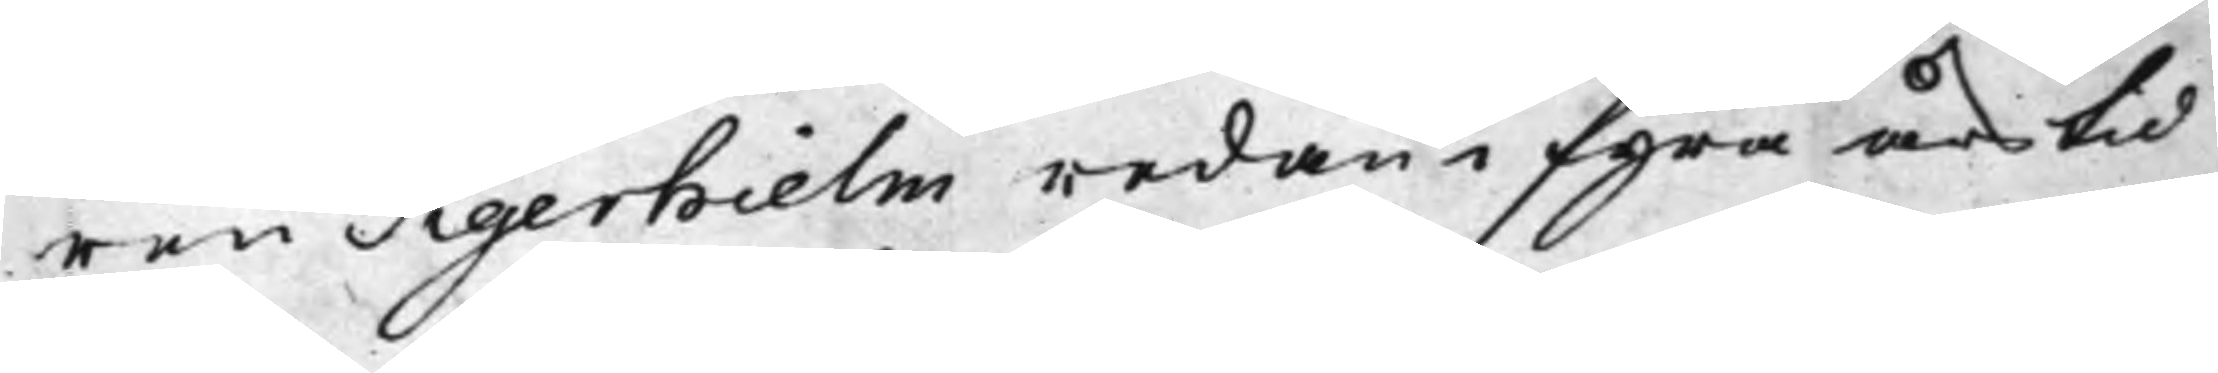ren Tigerhielm redan i fyra års tid
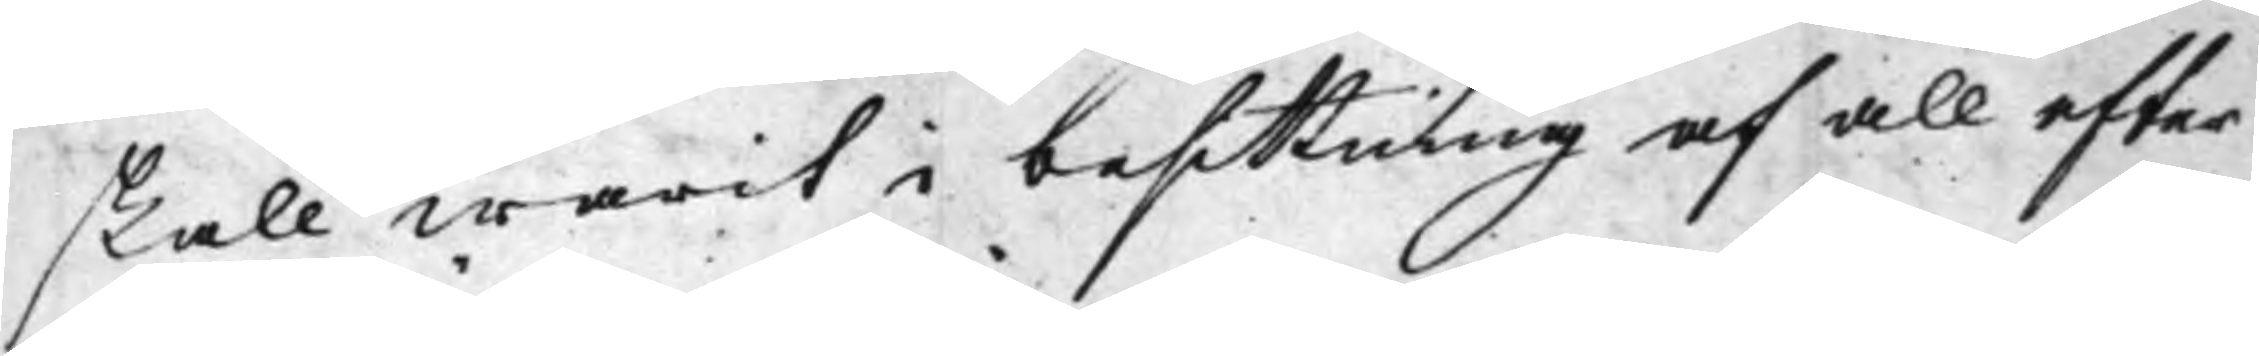skall warit i besittning af all efter
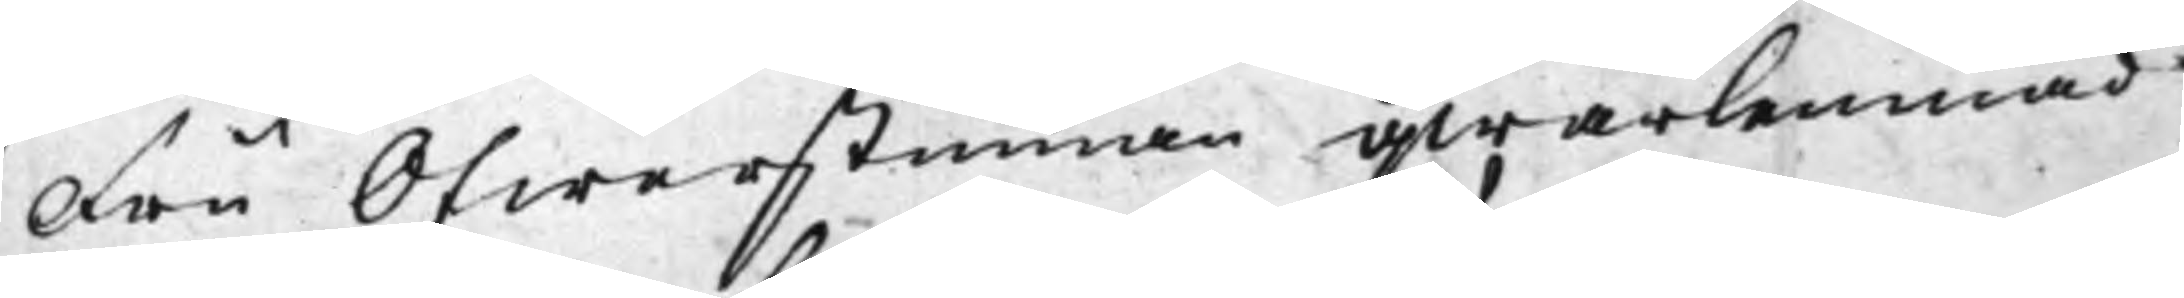Fru Öfwerstinnan qwarlemnad
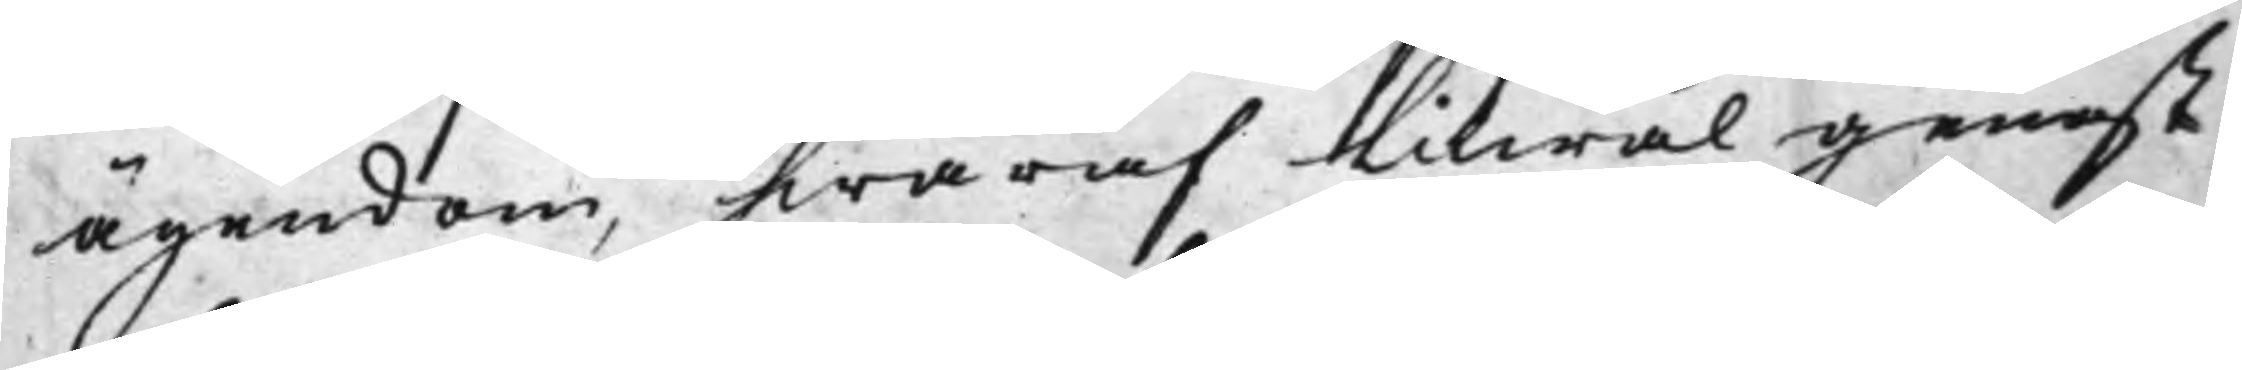ägendom, hwaraf llikwäl genast
